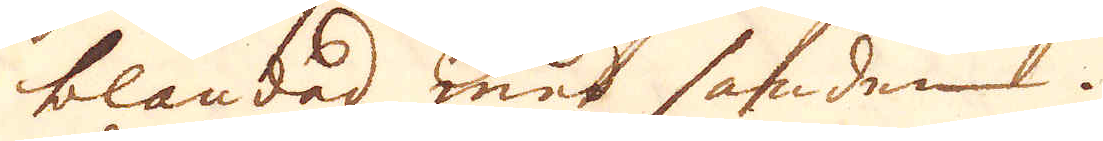blandad med sanden.
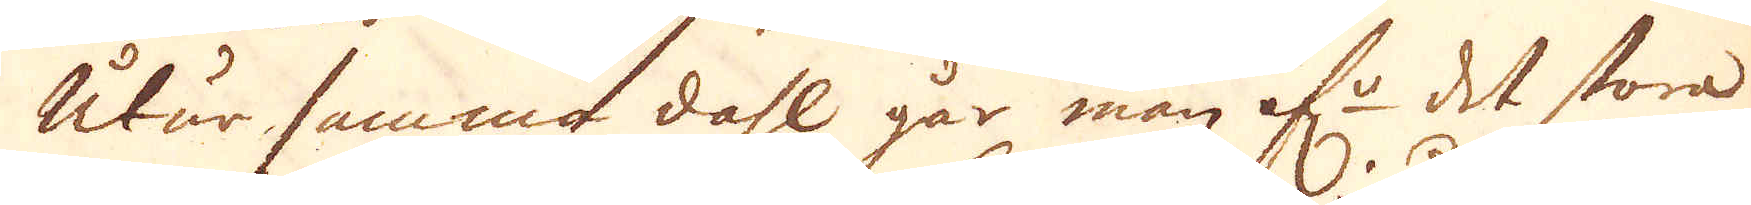Utur samma dahl går man öf:r det stora
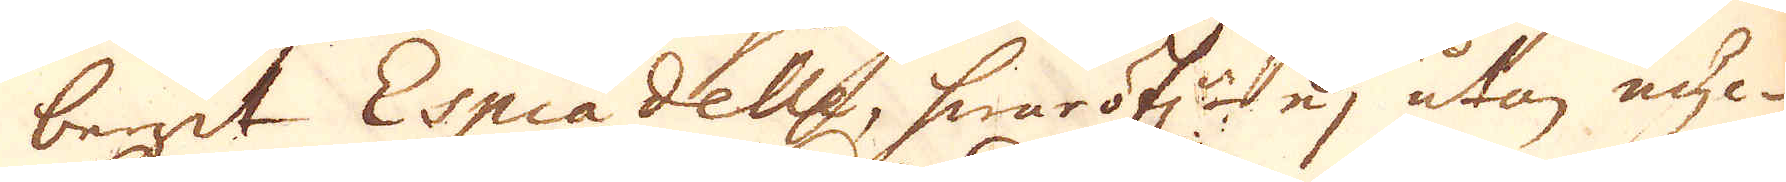berget Espiadelle, hwaröf:r ej utan myc-
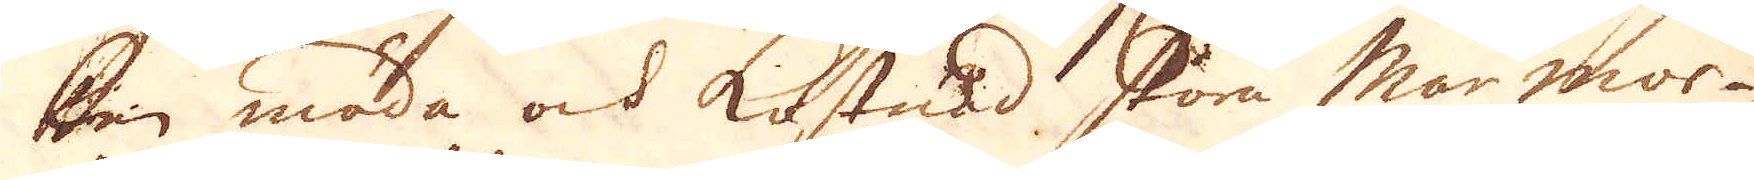ken möda ock kostnad stora Marmor-
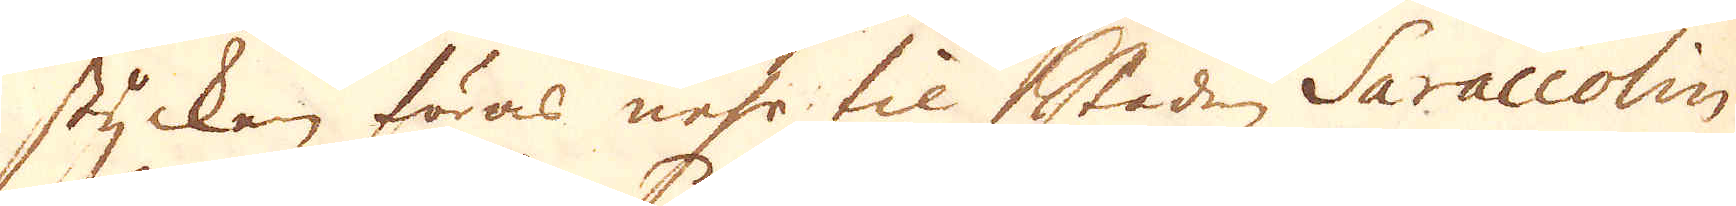stycken föras ner til staden Saraccolin,
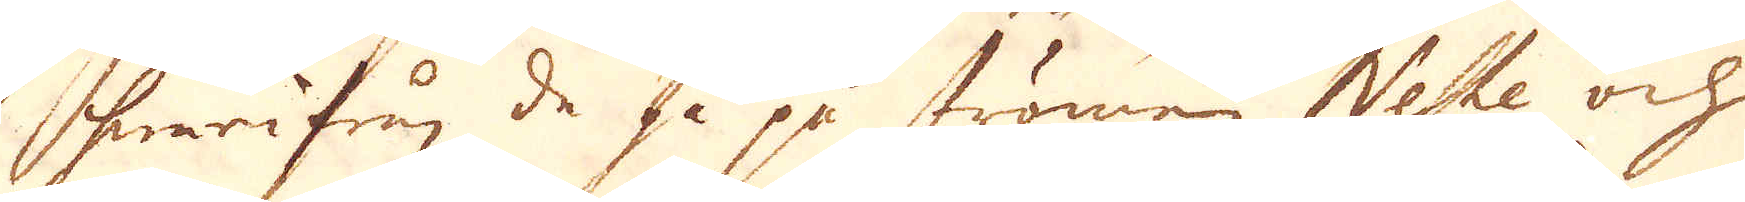hwarifrån de så på strömen Neste och
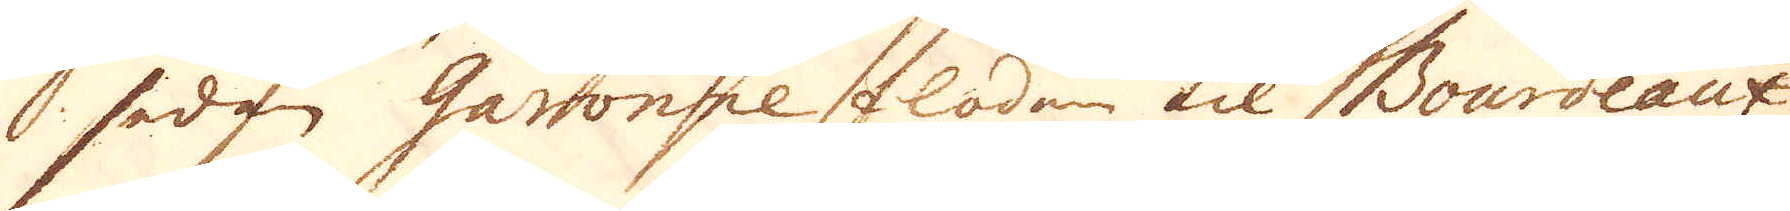 sedan Garonne floden til Bourdeaux,
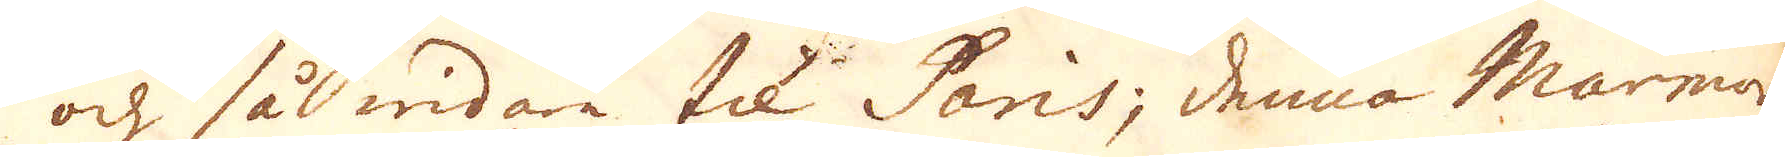och så widare til Paris; denna Marmor
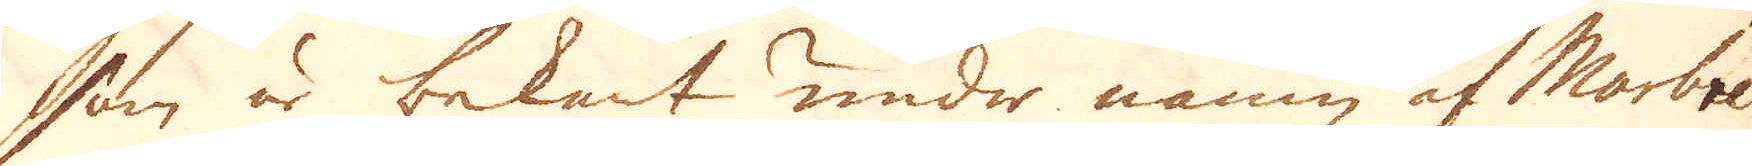som är bekant under namn af Marbre
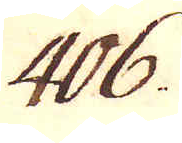406.
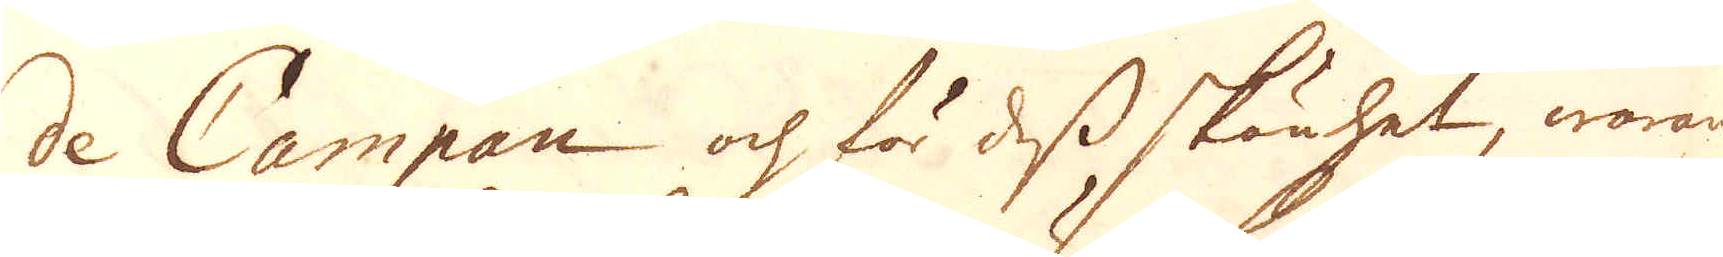de Campan och för dess skönhet, warande
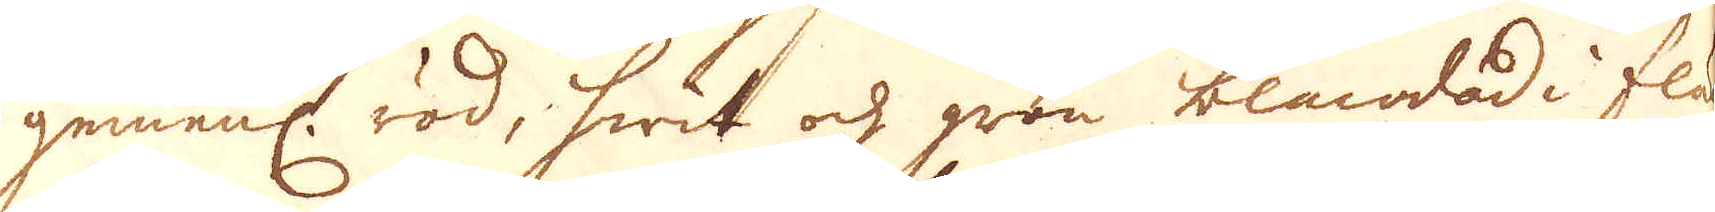gemenl. röd, hwit och grön blandad i fläc-
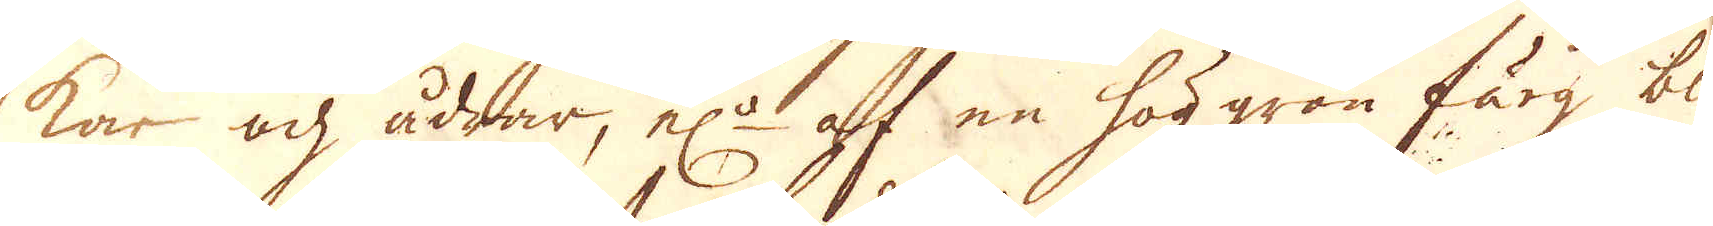kar och ådrar, el:r af en hög grön färg blan-
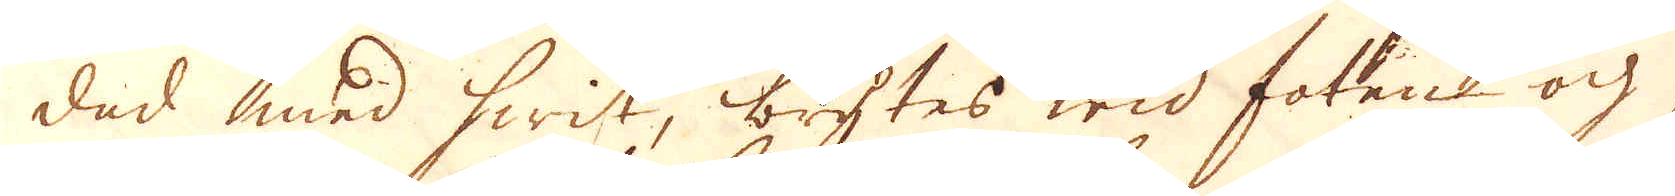dad med hwit, brytes wid foten och
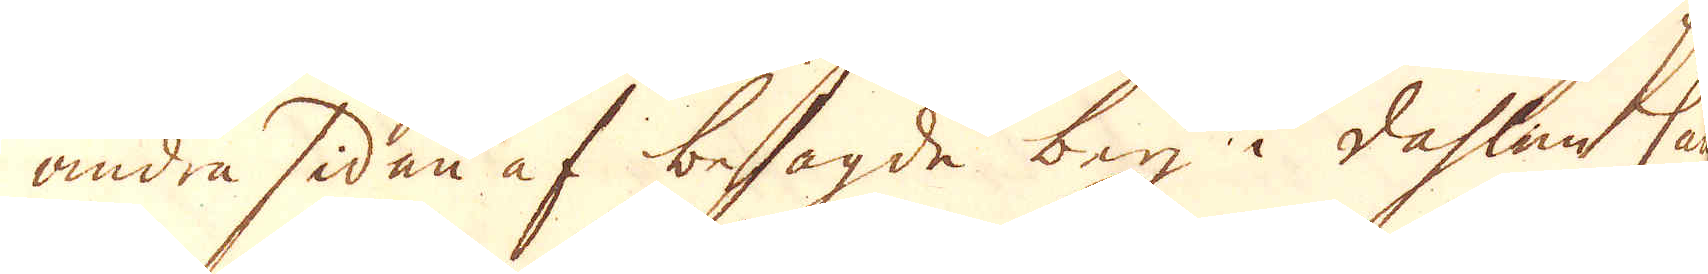andra sidan af besagde berg i dahlen Cam-
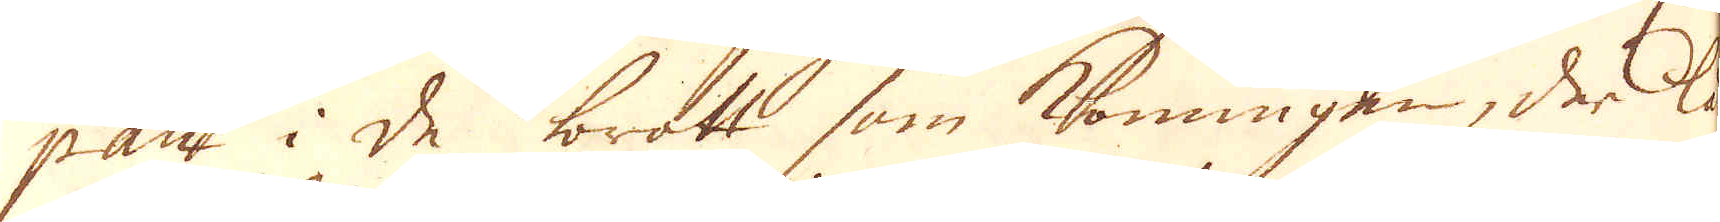pan i de brott som Konungen, der lå-
